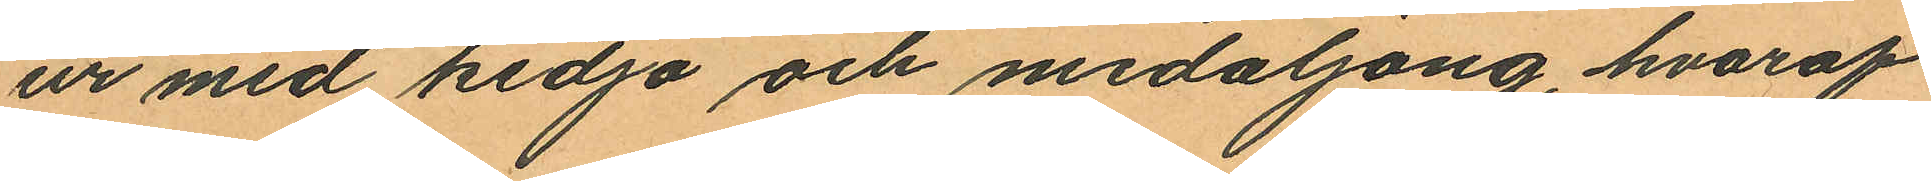ur med kedja och medaljong, hvaraf
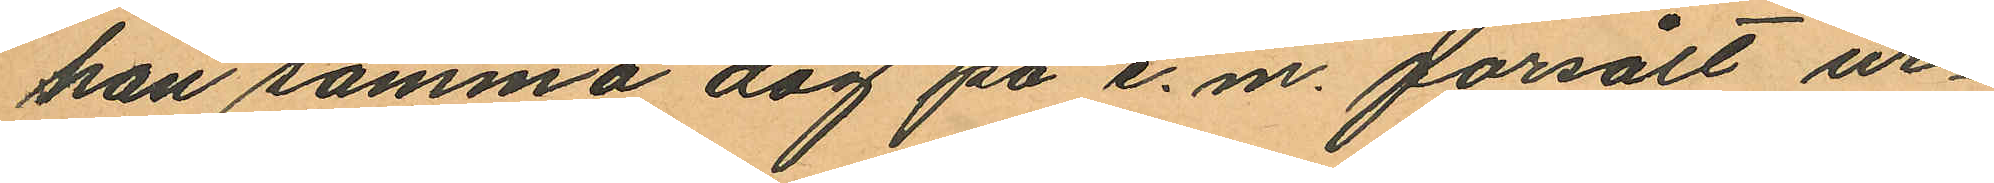han samma dag på e. m. försålt ur¬
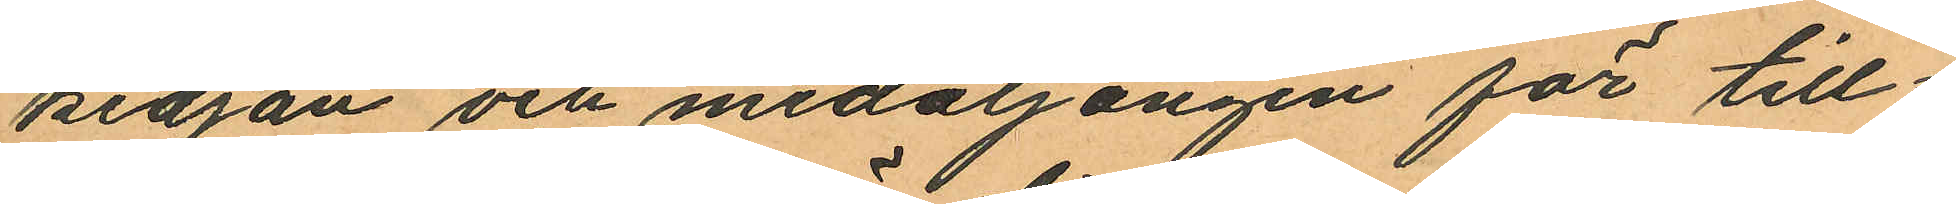kedjan och medaljongen för till¬
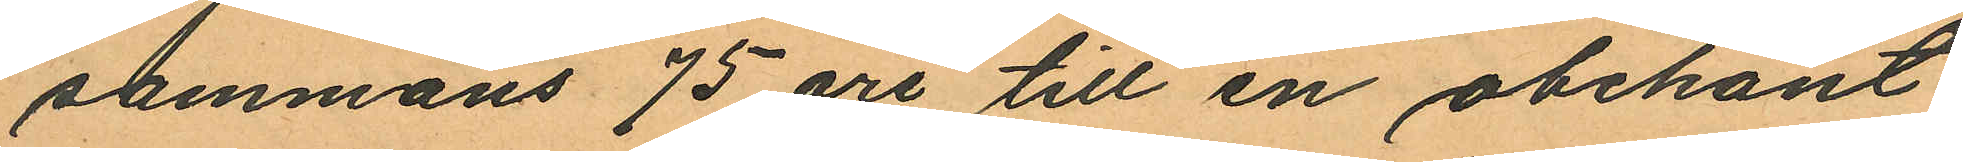sammans 75 öre till en obekant
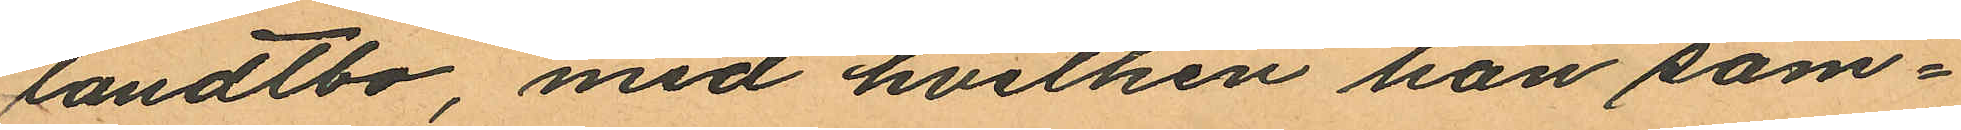landtbo, med hvilken han sam¬
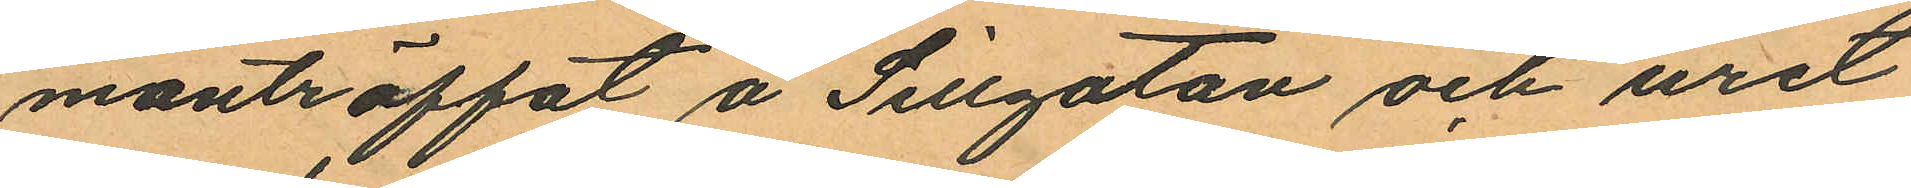manträffat å Sillgatan och uret
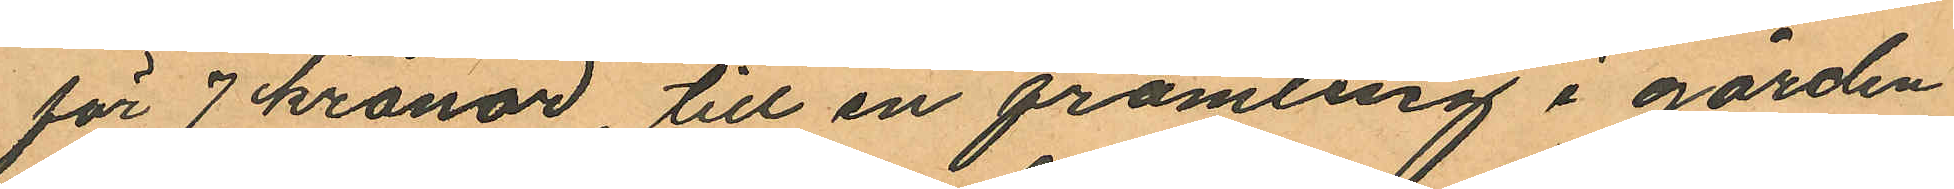för 7 kronor, till en främling i gården
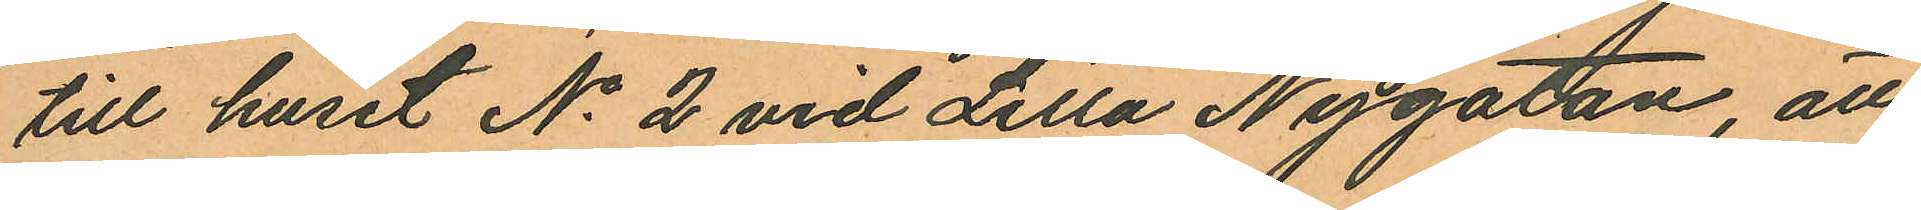till huset No 2 vid Lilla Nygatan, att
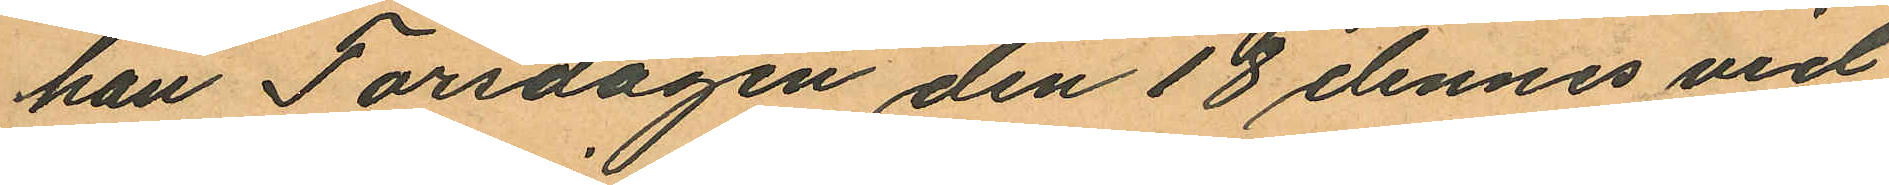han Torsdagen den 18 dennes vid
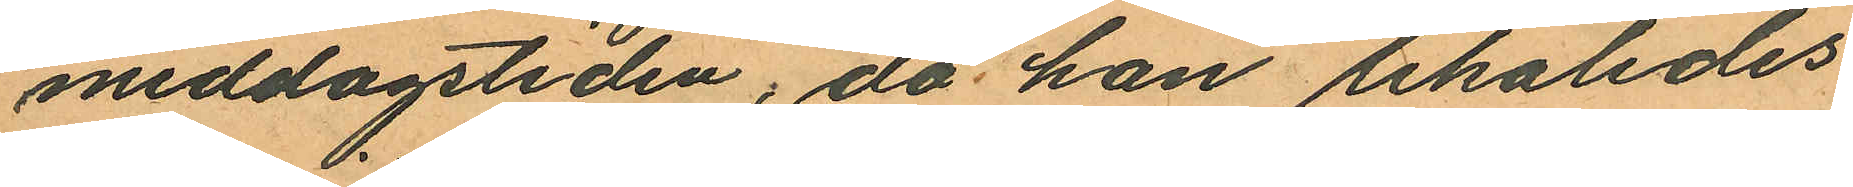middagstiden, då han likaledes
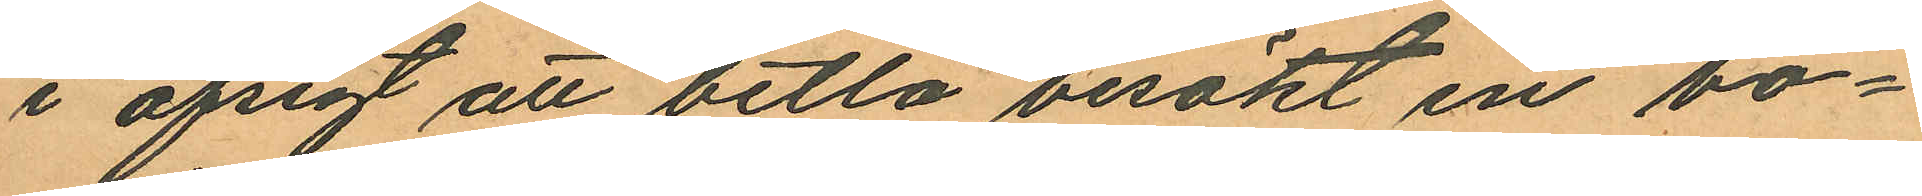i afsigt att betla besökt en bo¬
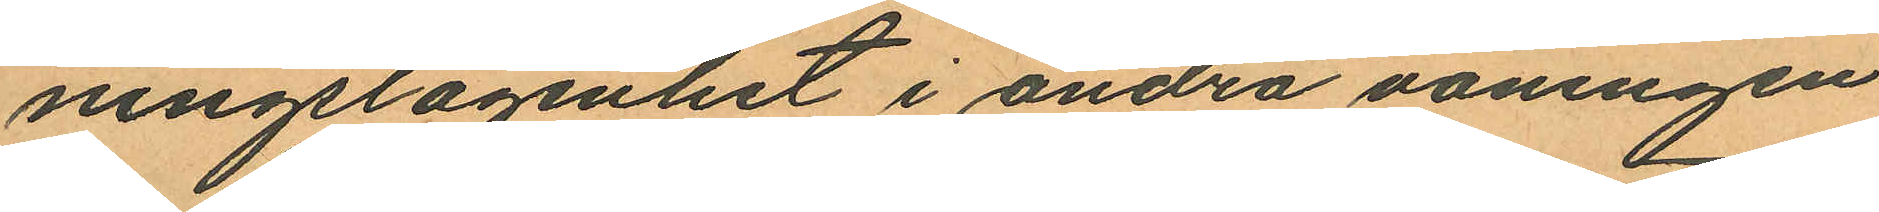ningslägenhet i andra våningen
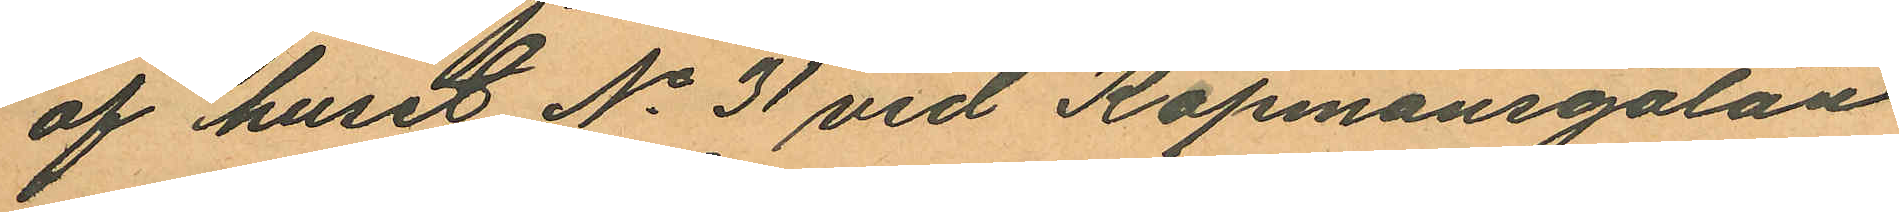af huset No 31 vid Köpmansgatan
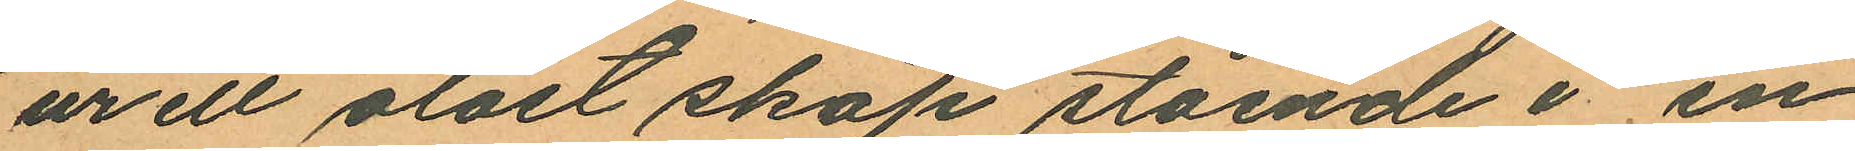ur ett olåst skåp stående i en
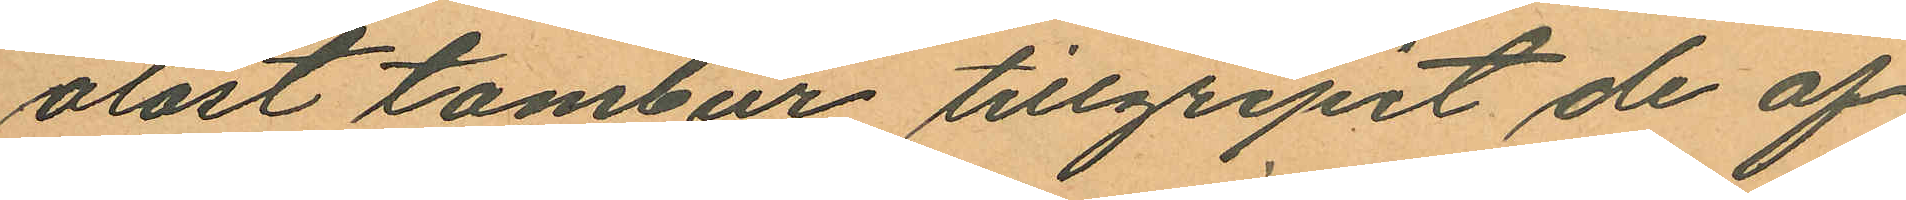olåst tambur tillgripit de af
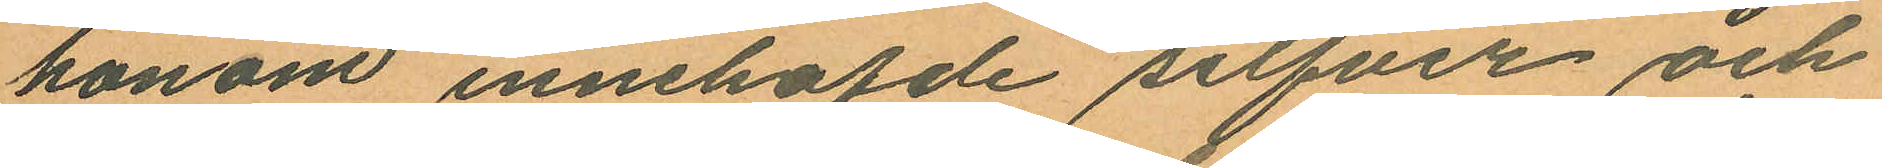honom innehafde silfver och
